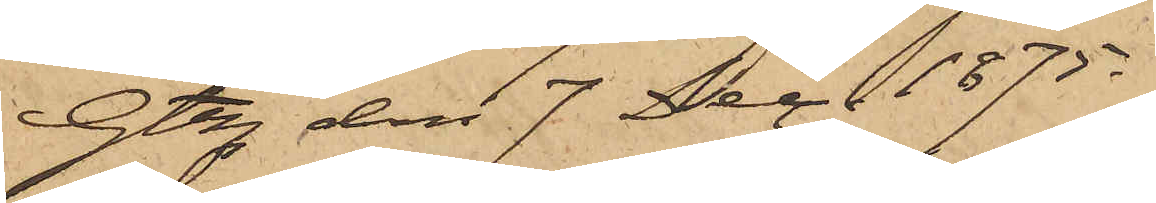Gtbg den 7 Dec. 1875.
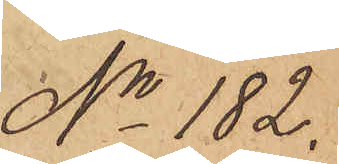No 182.
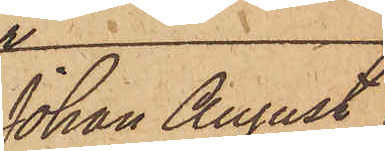Johan August
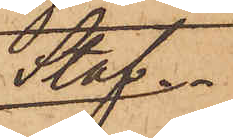Staf.
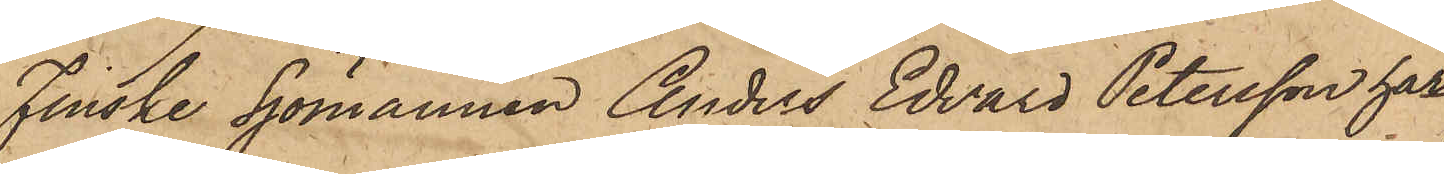Finske Sjömannen Anders Edvard Petersson har
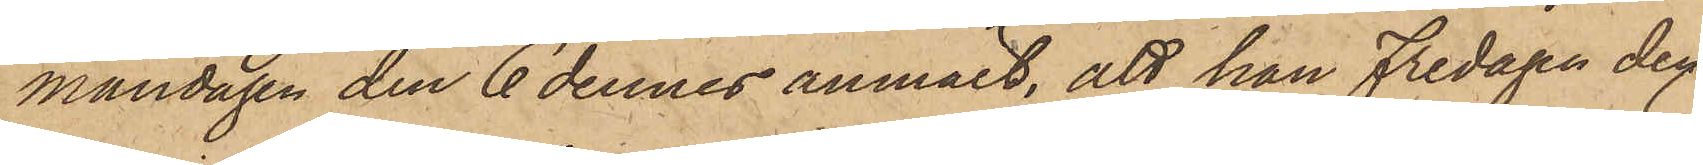måndagen den 6 dennes anmält, att han Fredagen den
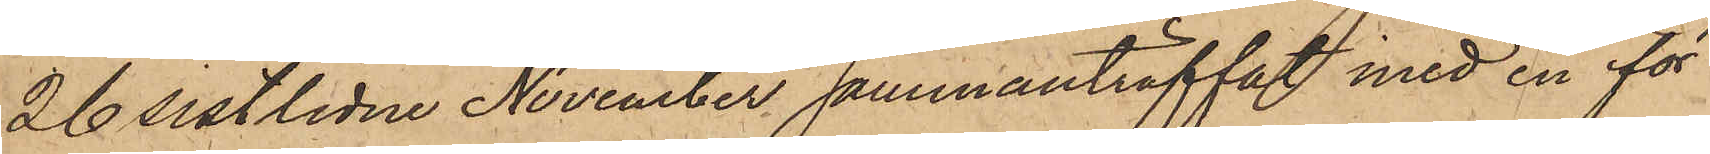26 sistlidne November sammanträffat med en för
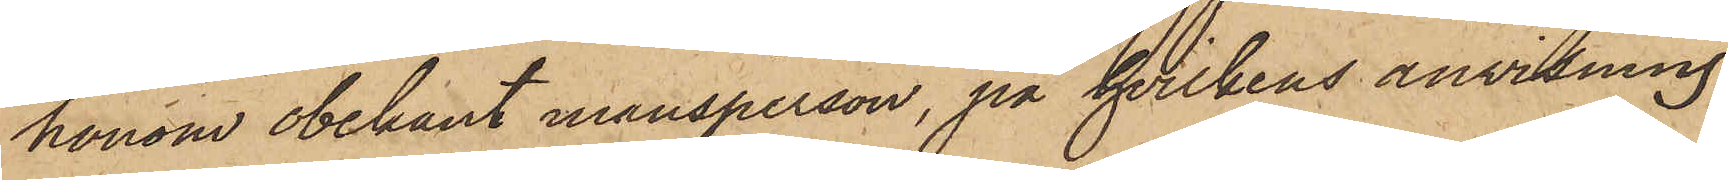honom obekant mansperson, på hvilkens anvisning
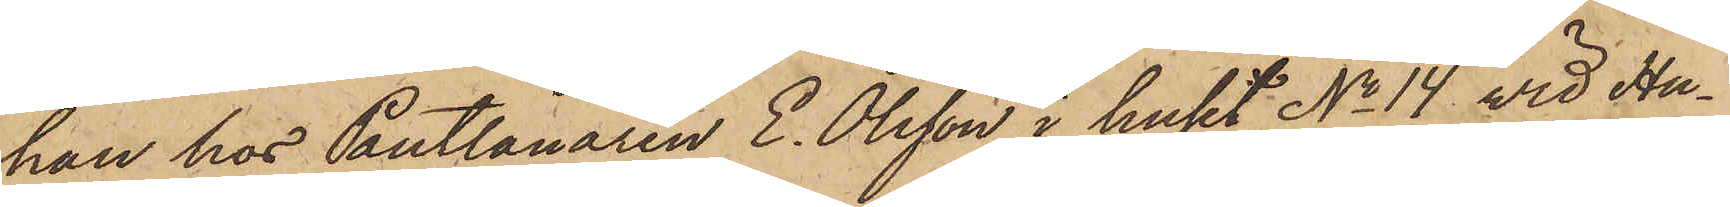han hos Pantlånaren E. Olsson i huset No 14 vid Hu¬
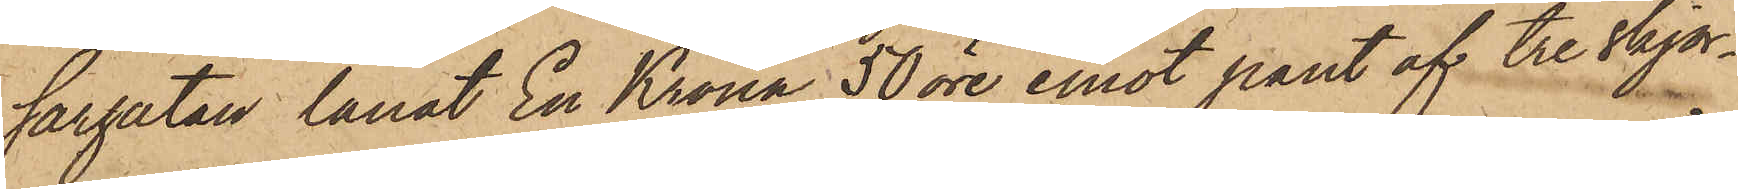sargatan lånat En Krona 50 öre emot pant af tre skjor¬
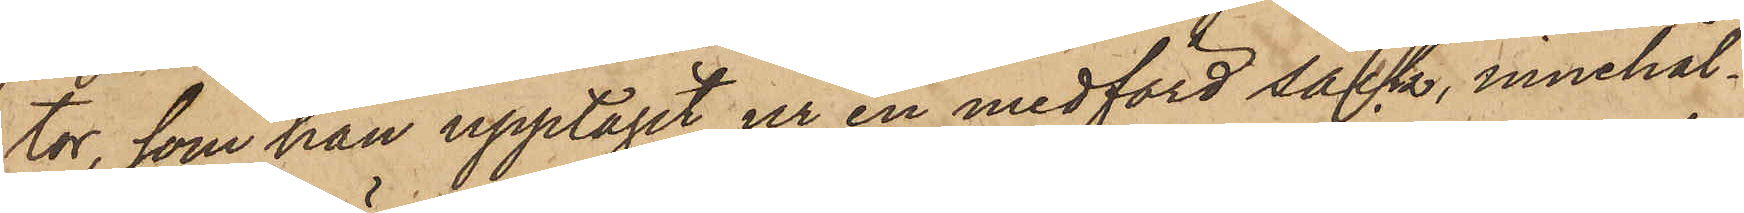tor, som han upptagit ur en medförd säck, innehål¬
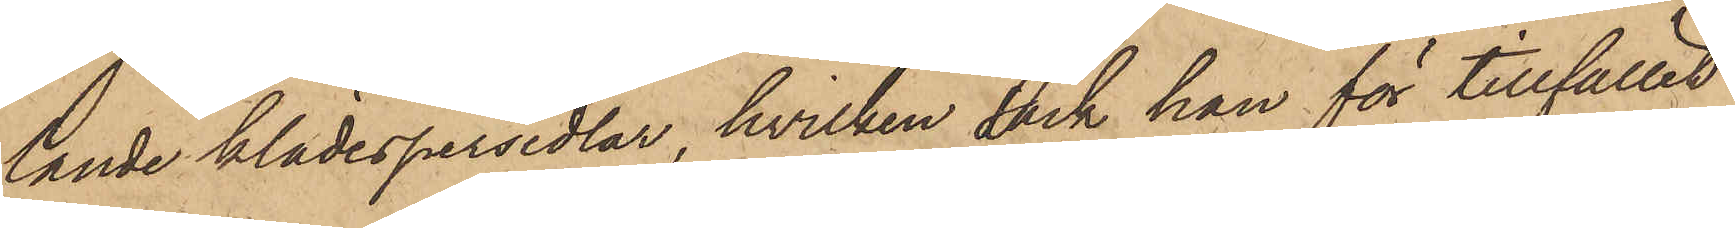lande klädespersedlar, hvilken dock han för tillfället
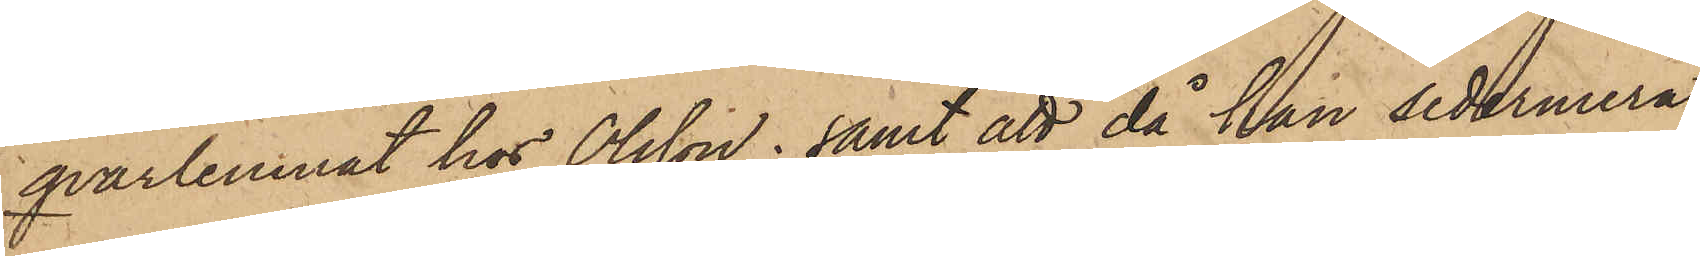qvarlemnat hos Olsson; samt att då han sedermera
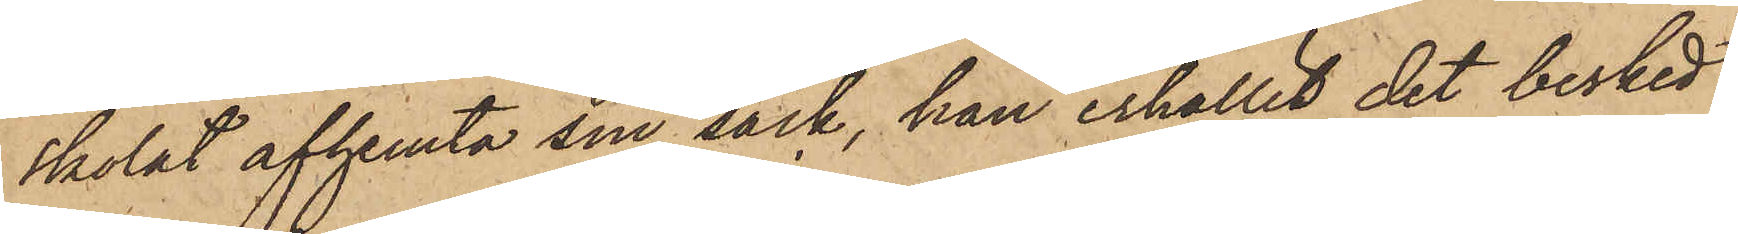skolat afhemta sin säck, han erhållit det besked
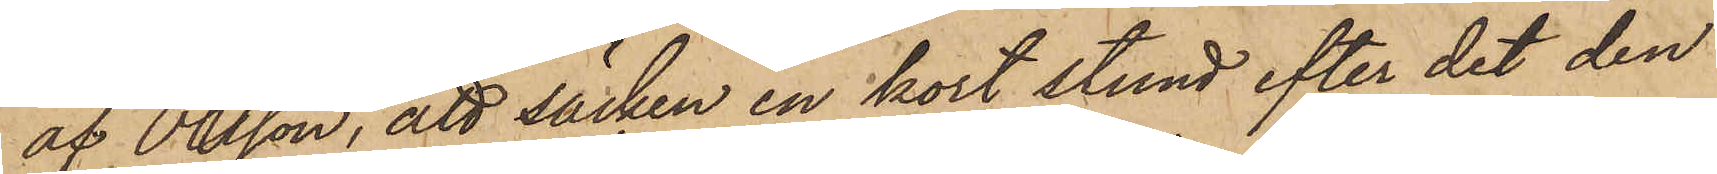af Olsson, att säcken en kort stund efter det den
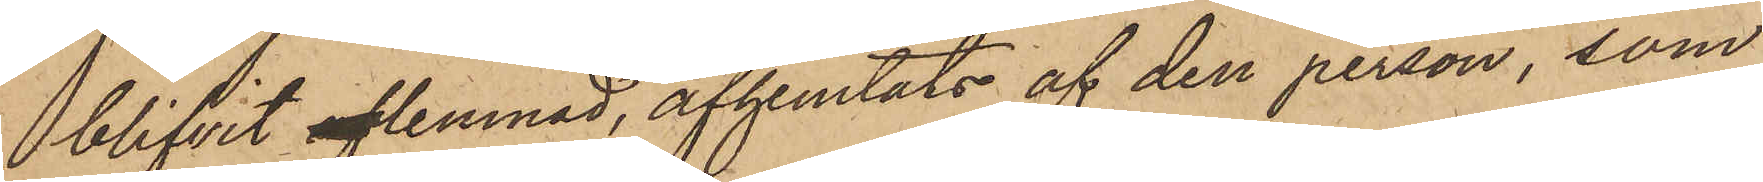blifvit aflemnad, afhemtats af den person, som
